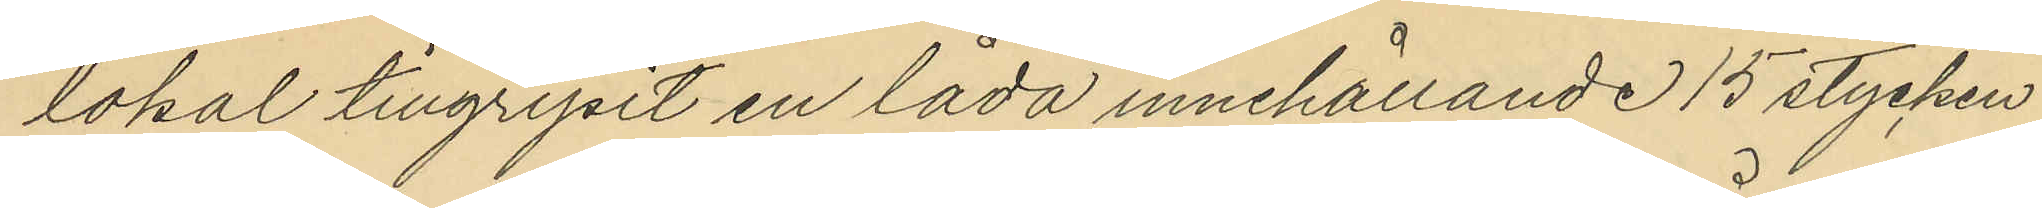lokal tillgripit en låda innehållande 15 stycken
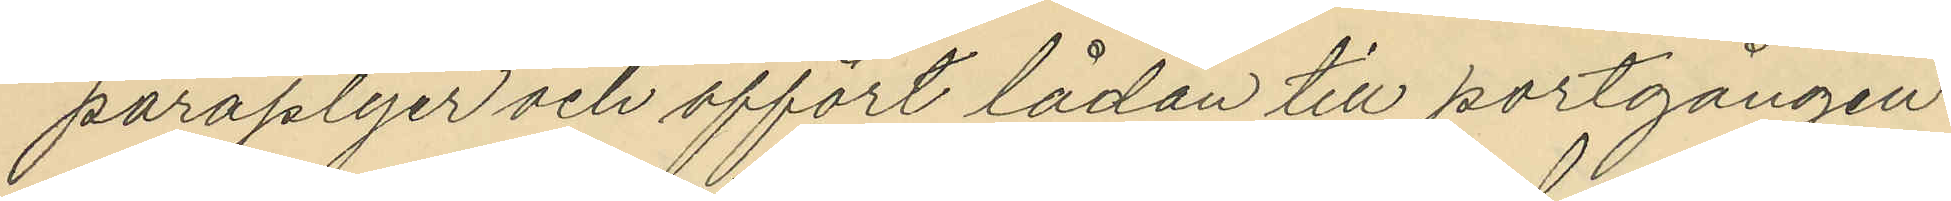paraplyer och affört lådan till portgången
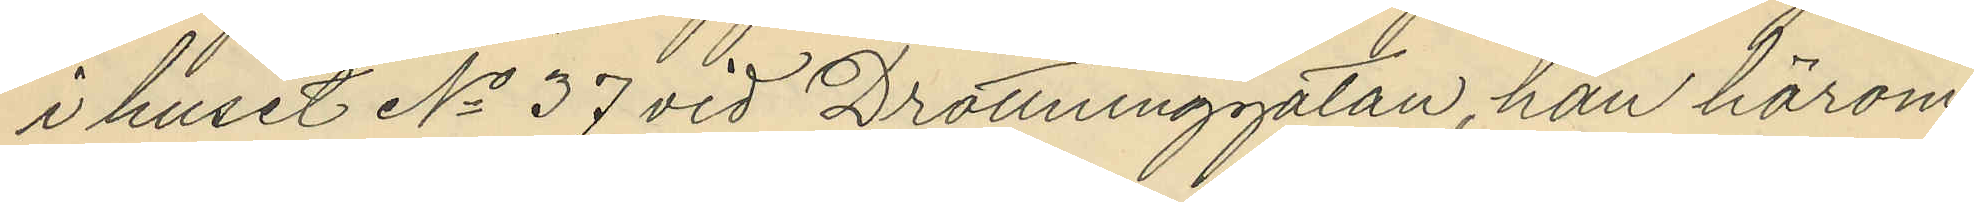i huset No 37 vid Drottninggatan han härom
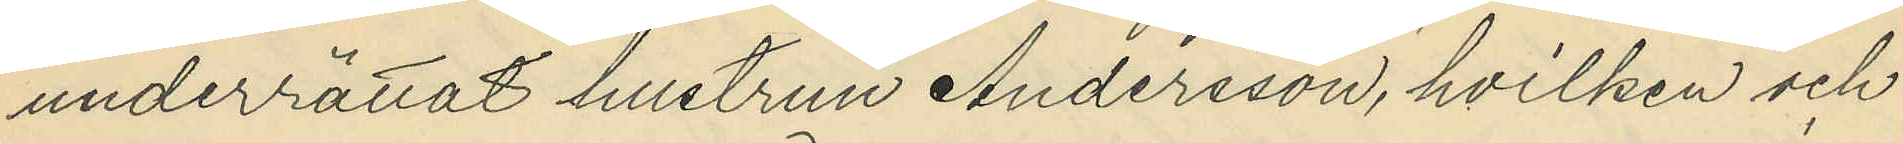underrättat hustrun Andersson, hvilken och
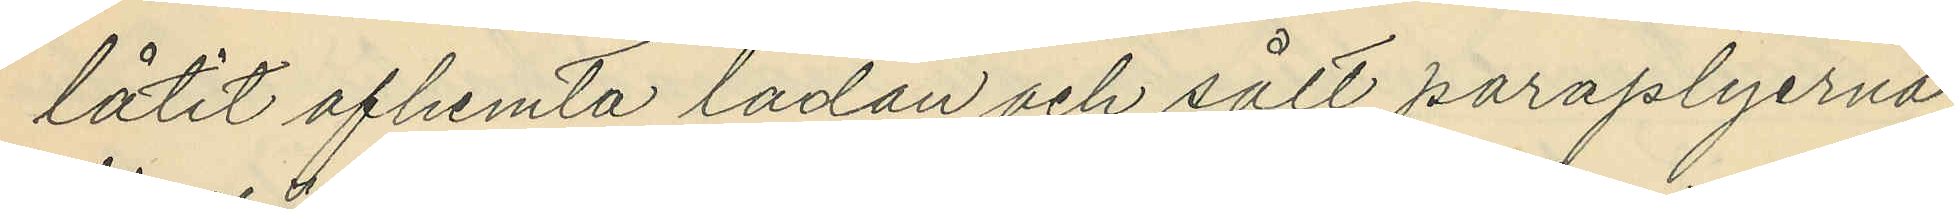låtit afhemta lådan och sålt paraplyerna
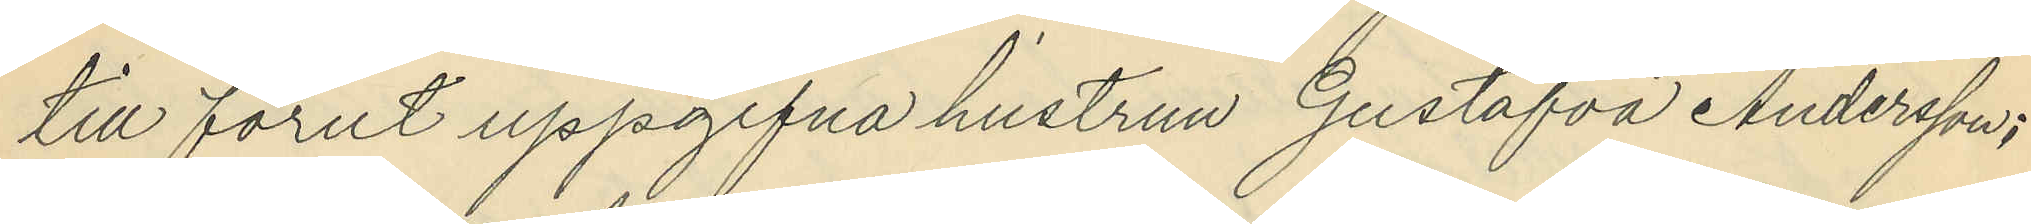till förut uppgifna hustrun Gustafva Andersson;
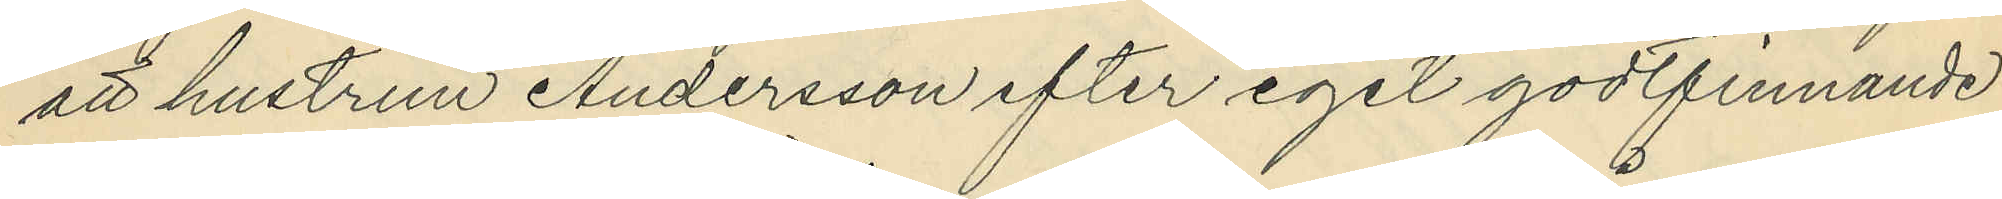att hustrun Andersson efter eget godtfinnande
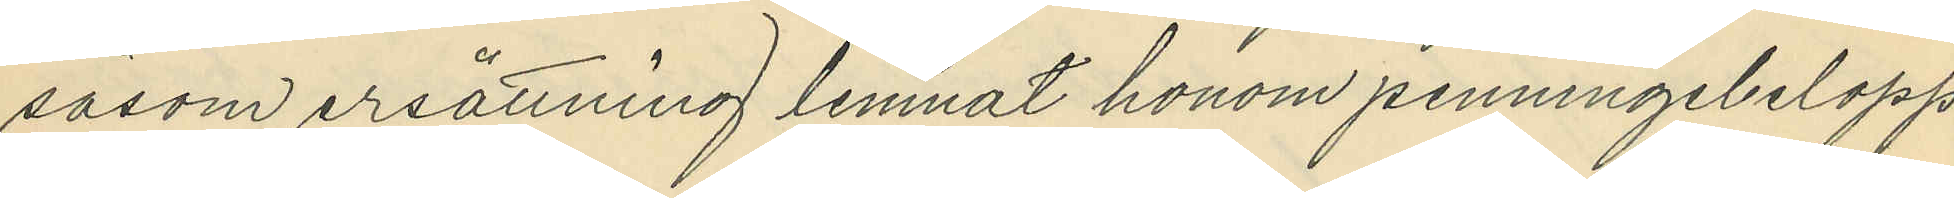såsom ersättning lemnat honom penningebelopp
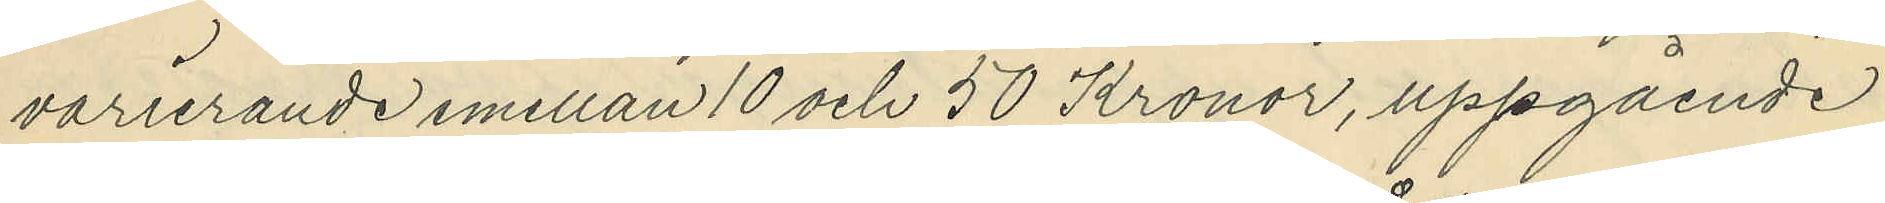varierande mellan 10 och 50 Kronor, uppgående
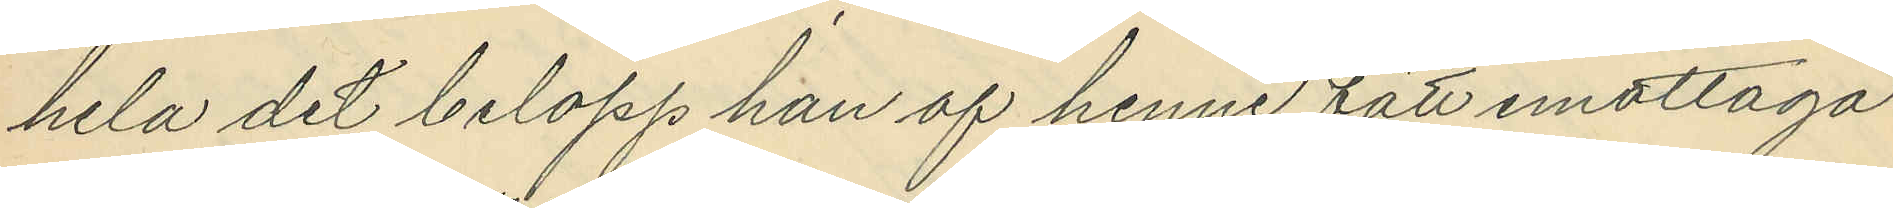hela det belopp han af henne fått emottaga
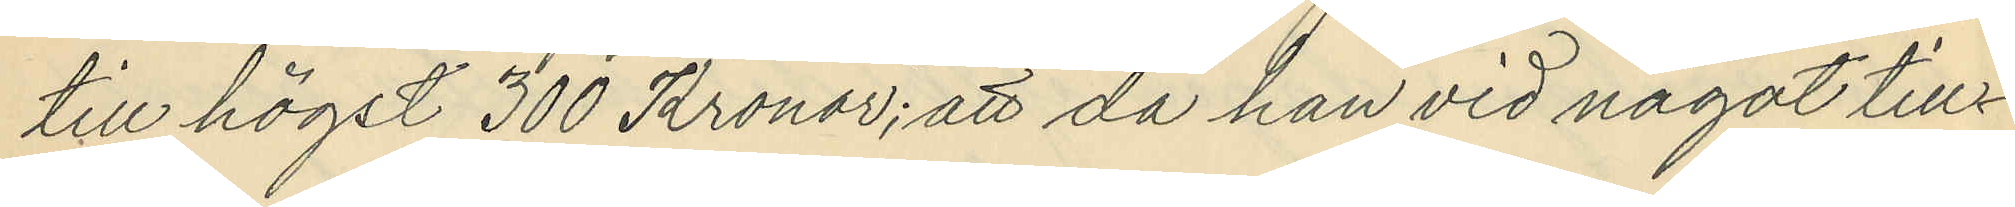till högst 300 Kronor; att då han vid något till¬
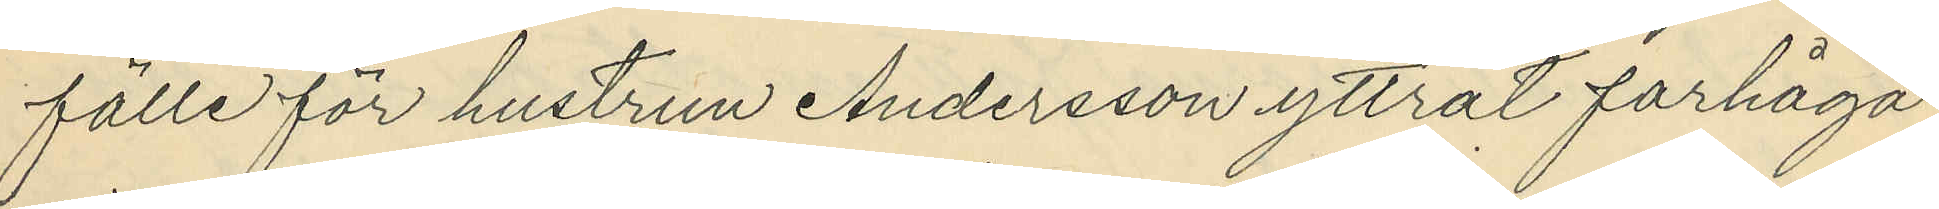fälle för hustrun Andersson yttrat farhåga
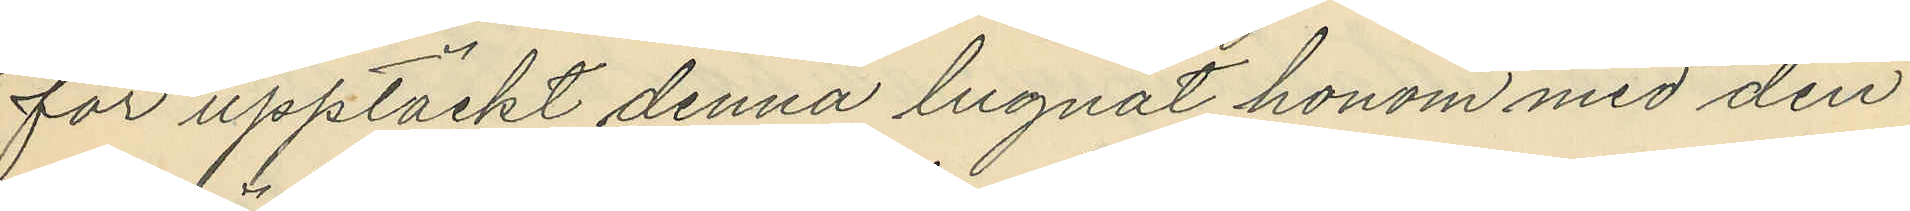för upptäckt denna lugnat honom med den
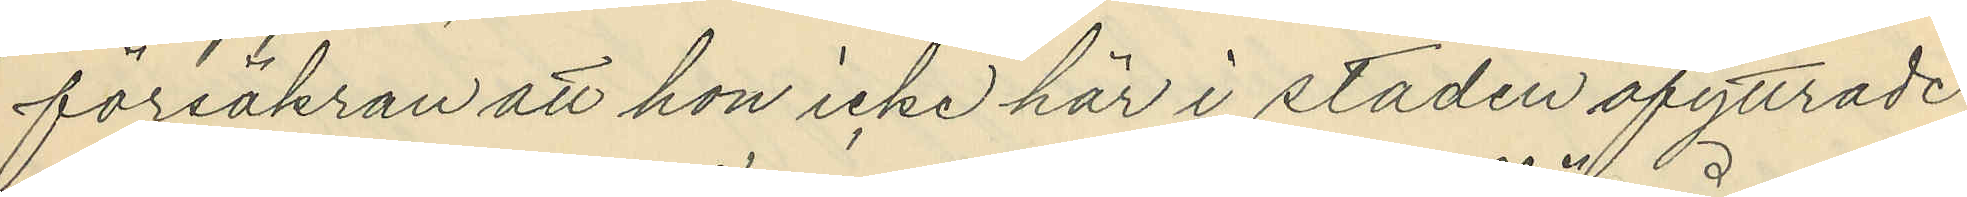försäkran att hon icke här i staden afyttrade
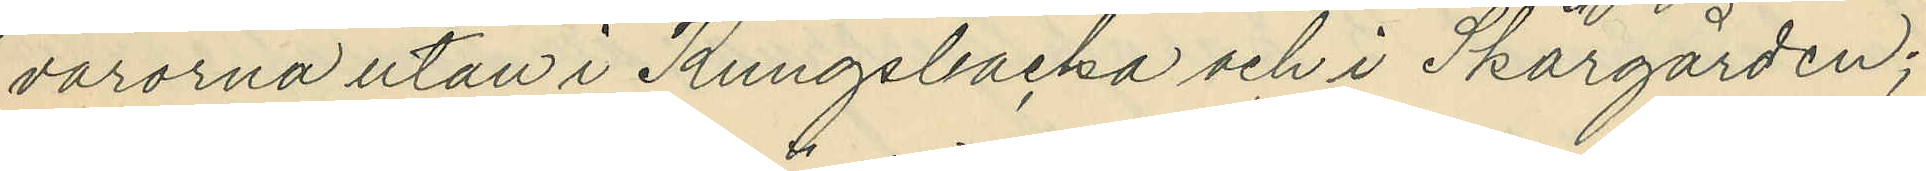varorna utan i Kungsbacka och i Skärgården;
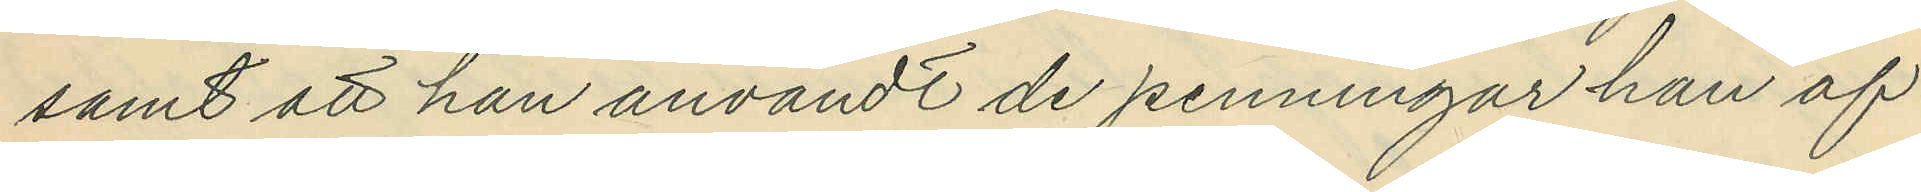samt att han användt de penningar han af
